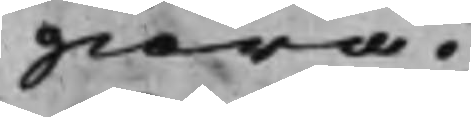giöra.
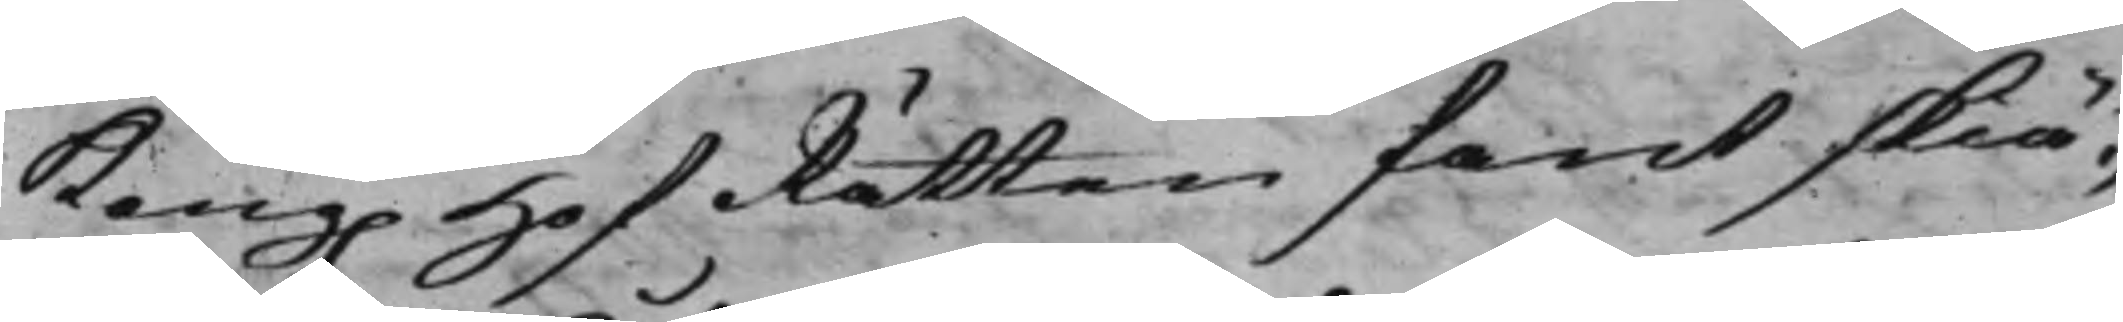Kong. HofRätten fant skiä¬
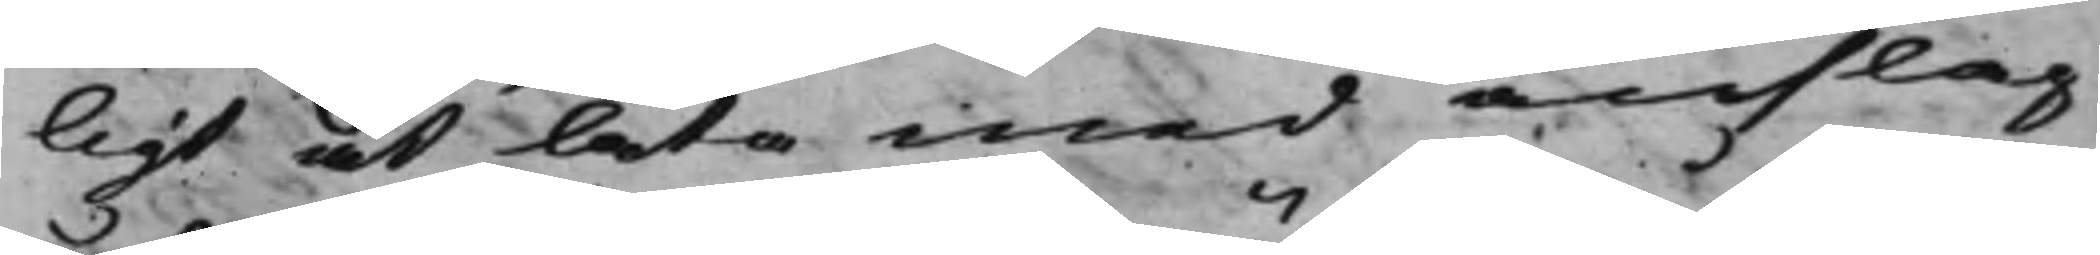ligt at låta med anslag
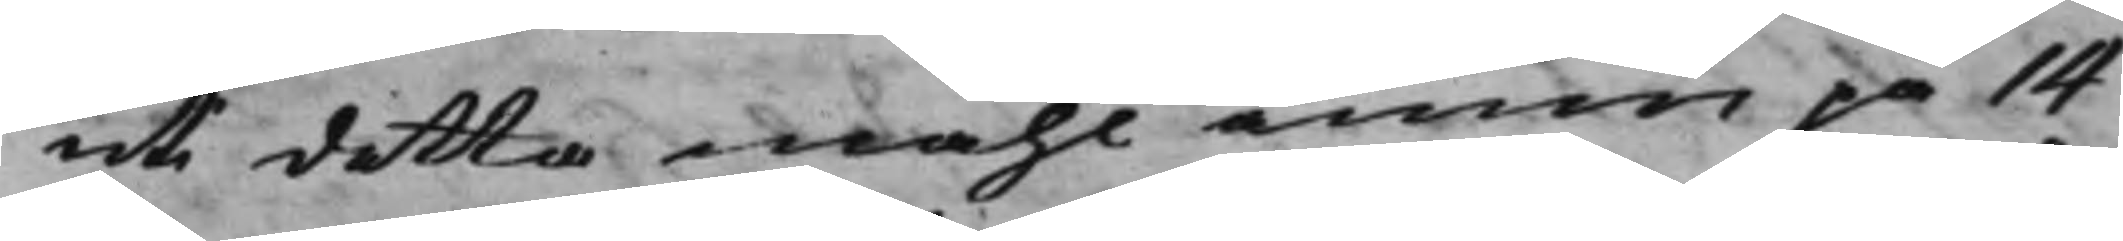uti detta måhl ännu på 14
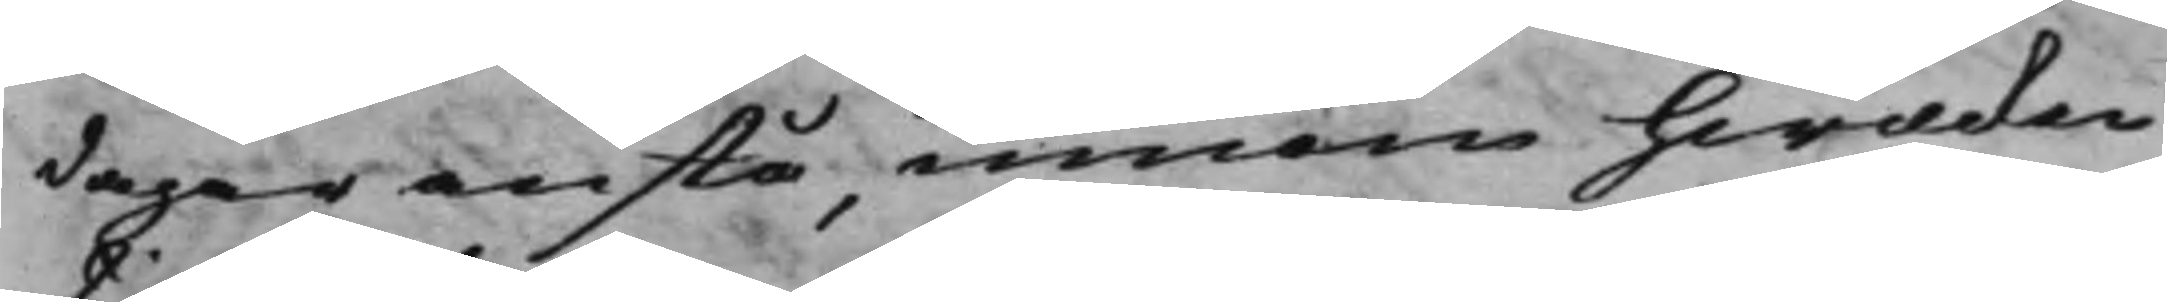dagar anstå, innom hwilcken
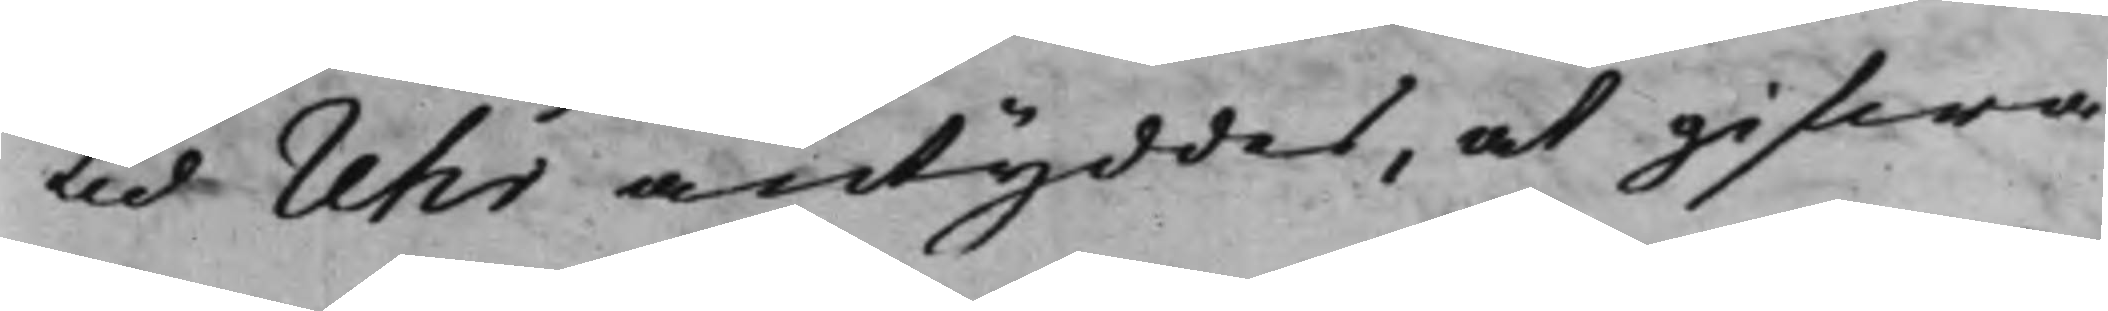tid Uhr antyddes, at gifwa
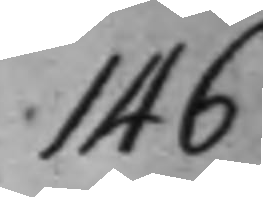146
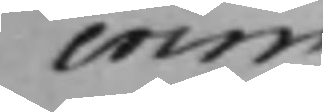crim
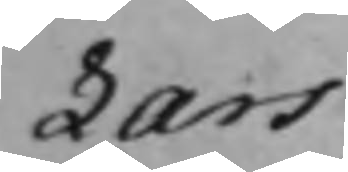Lars
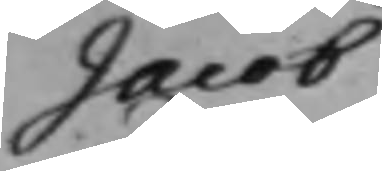Jacob
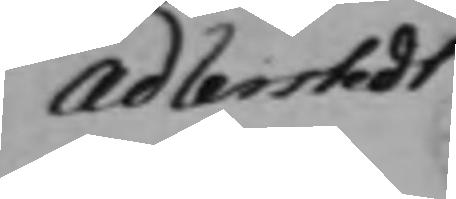Adlerstedt
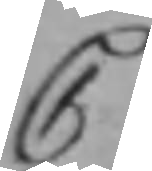C
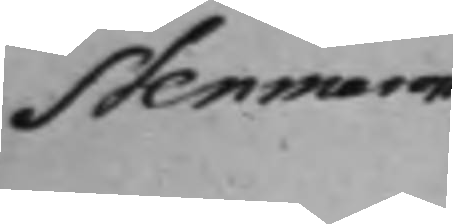Stenmarck
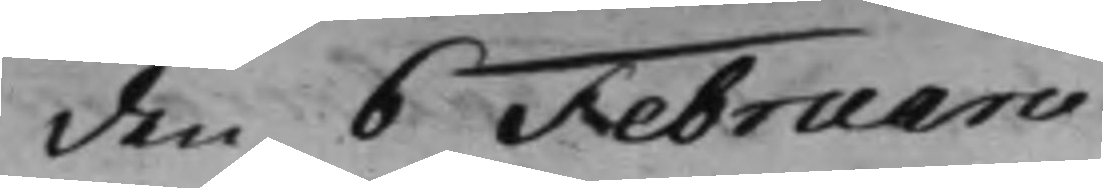den 6 Februarii
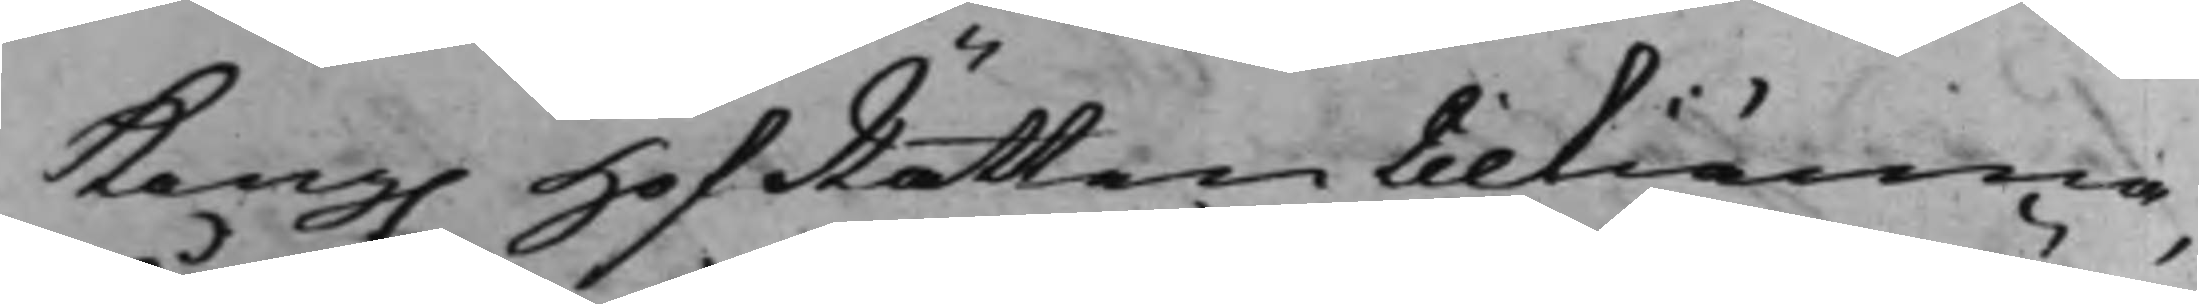Kong. HofRätten tilkiänna,
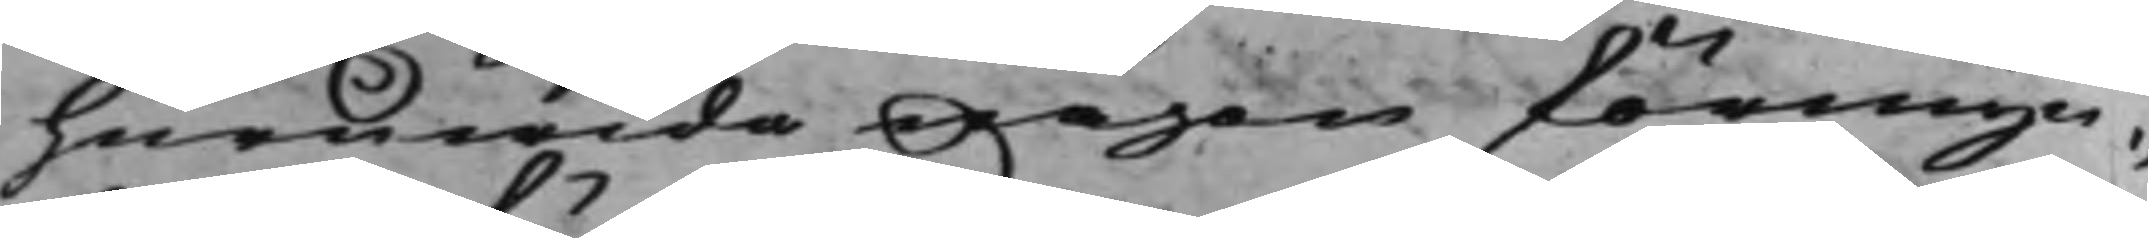huruwida någon förmyn¬
